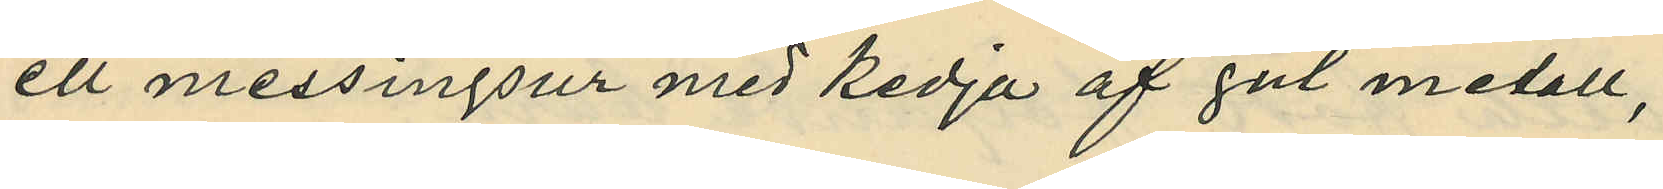ett messingsur med kedja af gul metall,
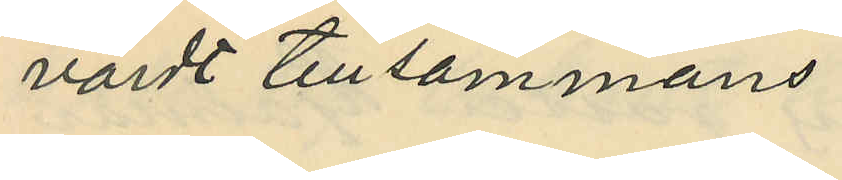värdt tillsammans
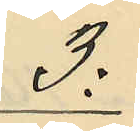3:
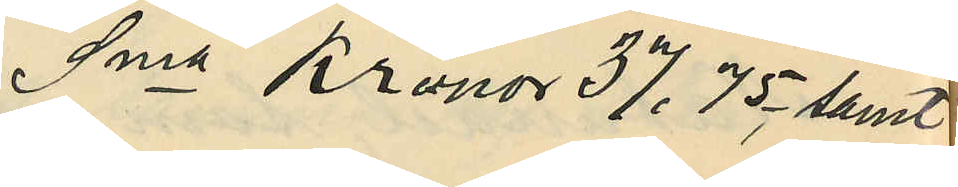Sma Kronor 37.75 samt
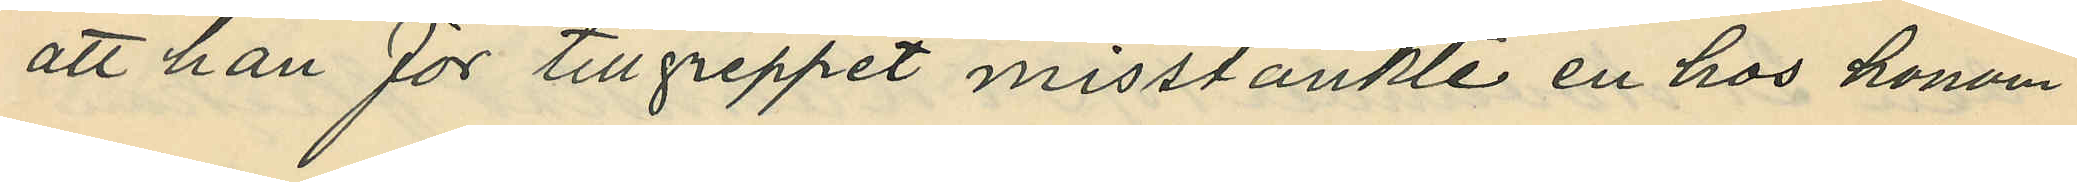att han för tillgreppet misstänkte en hos honom
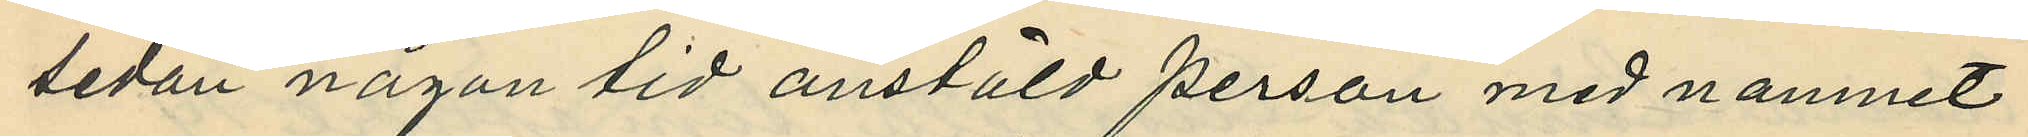sedan någon tid anstäld person med namnet
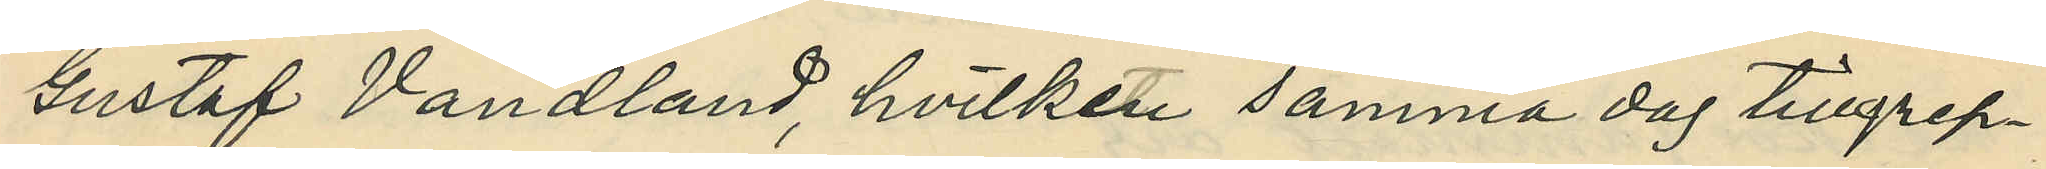Gustaf Vandland, hvilken samma dag tillgrep¬
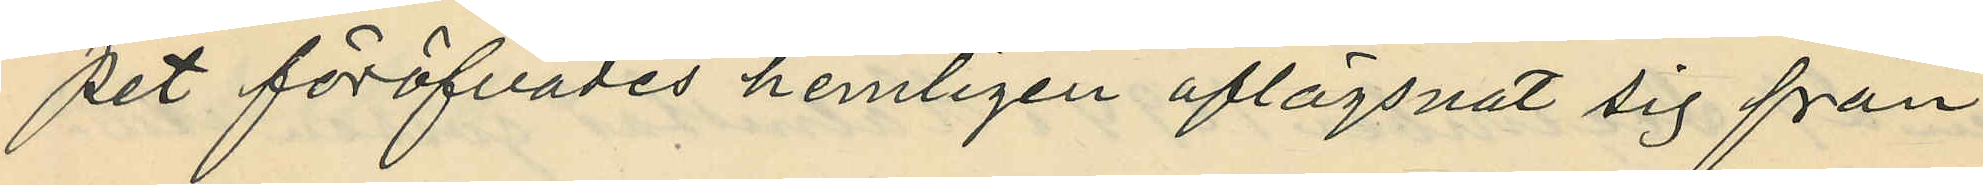pet föröfvades hemligen aflägsnat sig från
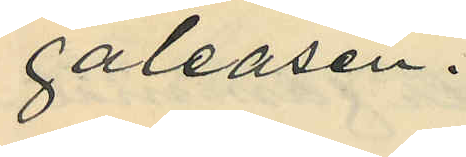galeasen.
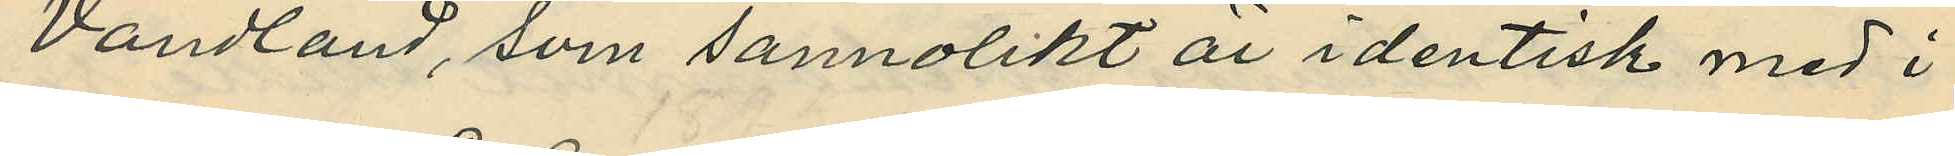Vandland, som sannolikt är identisk med i
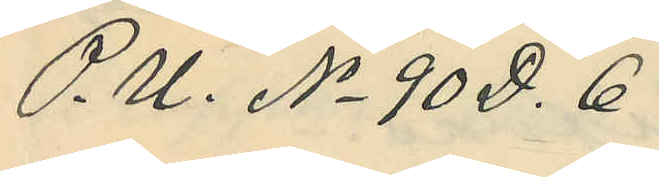P. U. No 90 D. 6
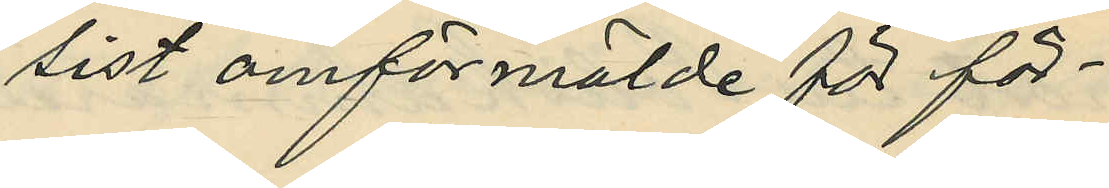sist omförmälde för för¬
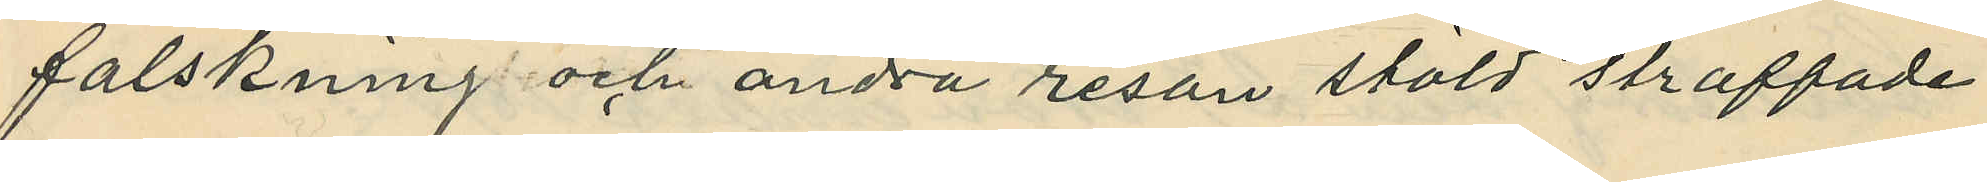falskning och andra resan stöld straffade
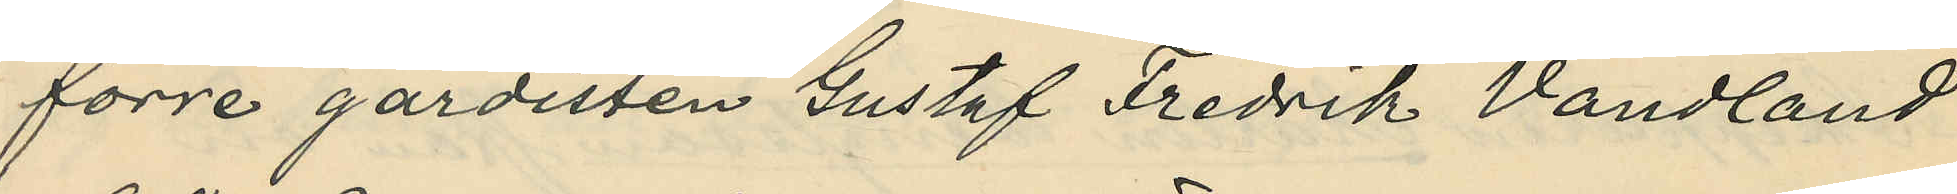förre gardisten Gustaf Fredrik Vandland
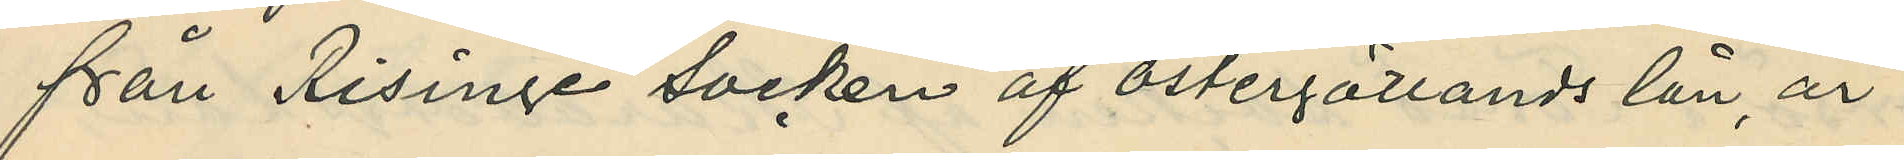fån Risinge Socken af Östergötlands län, är
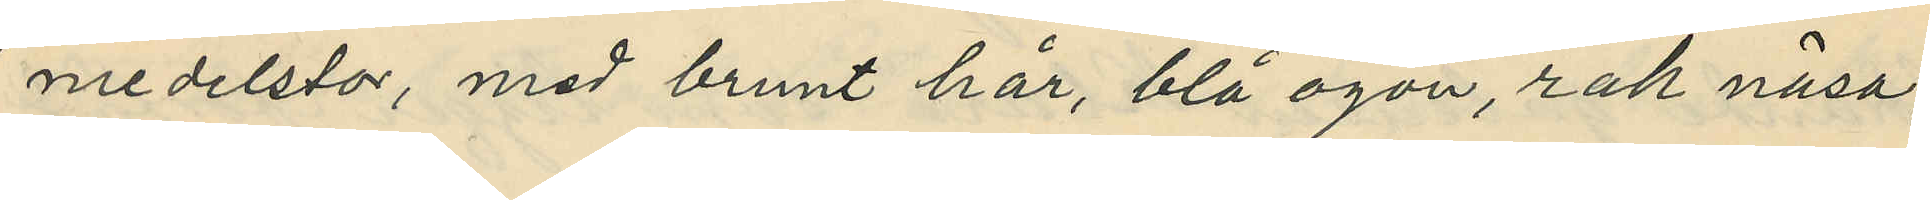medelstor, med brunt hår, blå ögon, rak näsa,
